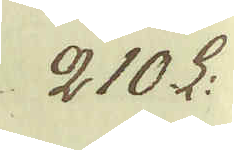210 L:
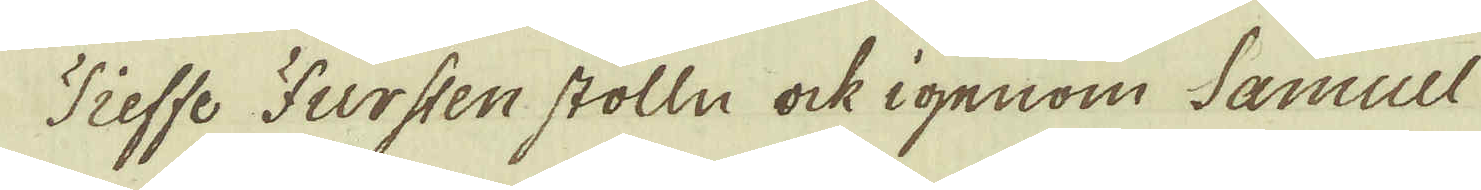Tieffe Fursten stolln ock igenom Samuel
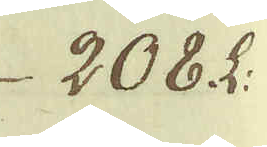208. L:
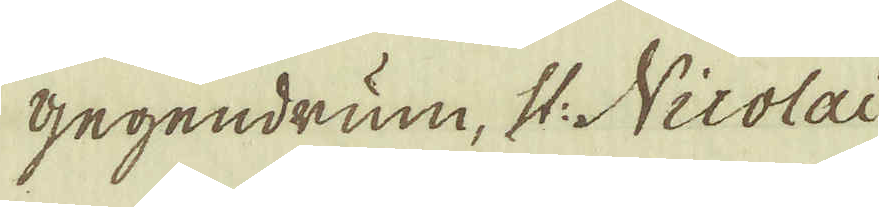gegendrum, st: Nicolai
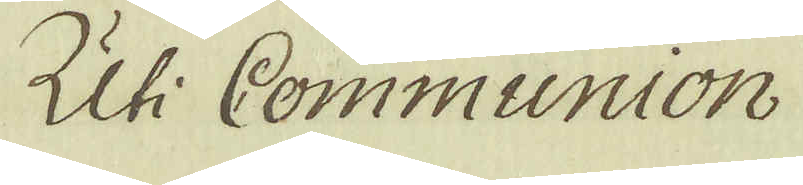Uti Communion
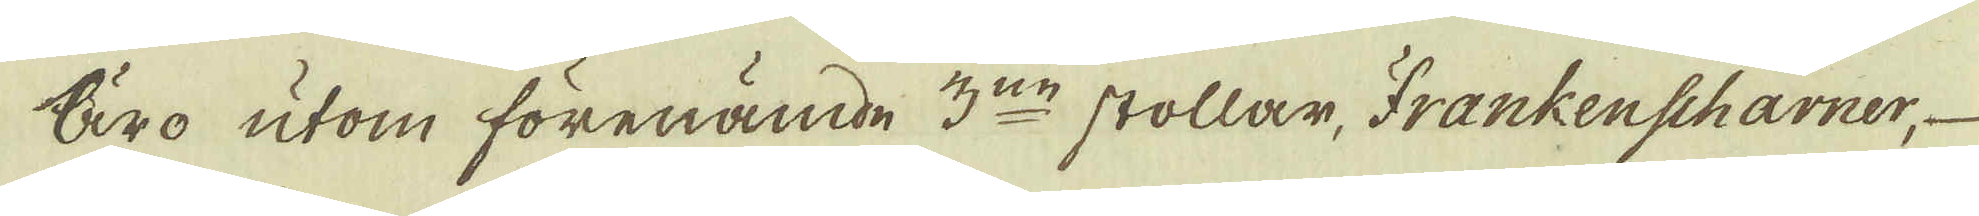Äro utom förenämde 3:ne stollar, Frankenscharner,
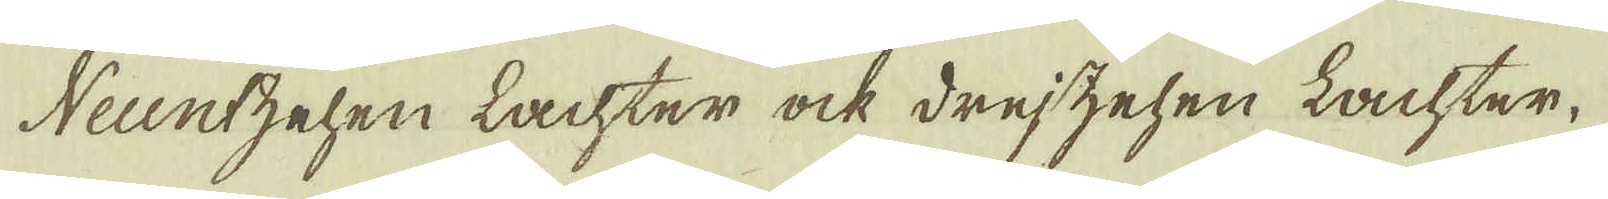Neuntzehen Lachter ock drejzehen Lachter,
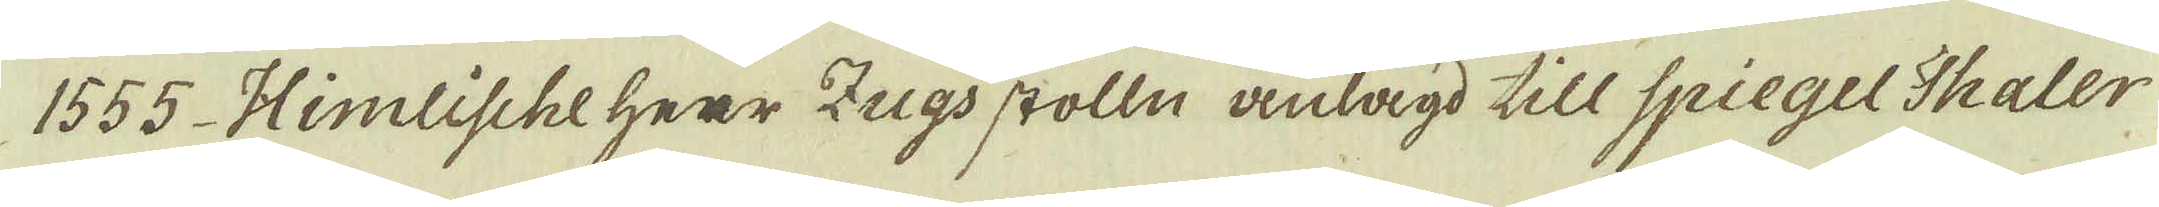1555 Himlischeherr Zugs stolln anlagd till Spiegel Thaler-
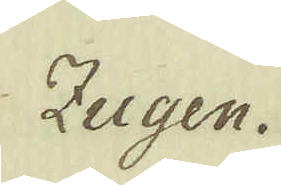Zugen.
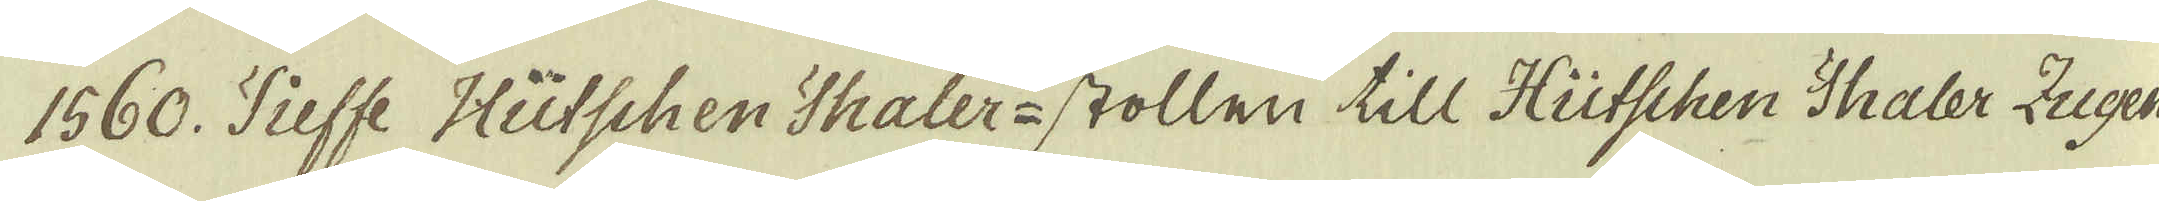1560. Tieffe Hütschen Thaler-stollen till Hütschen Thaler Zugen
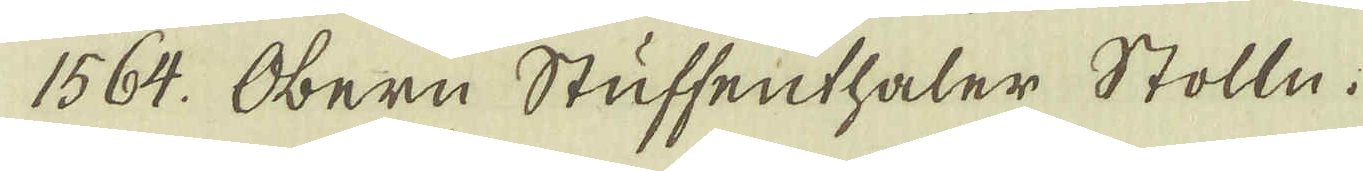1564. Obern Stuffenthaler Stolln.
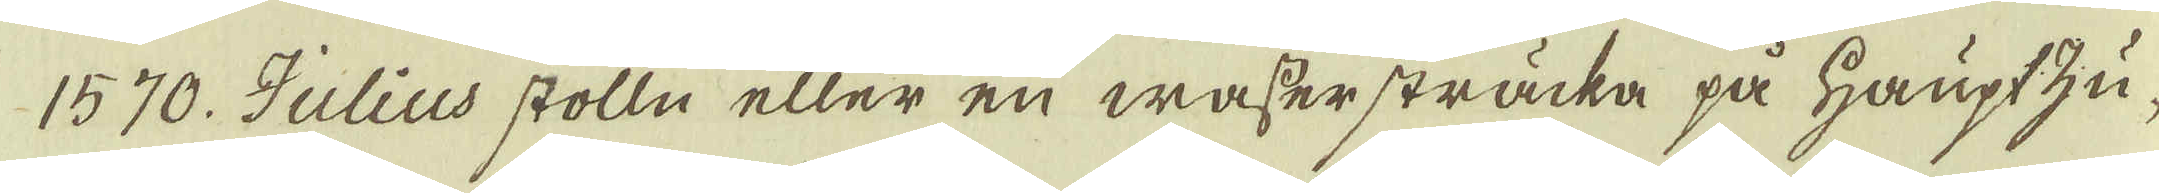1570. Julius stolln eller en wassersträcka på Hauptzu-
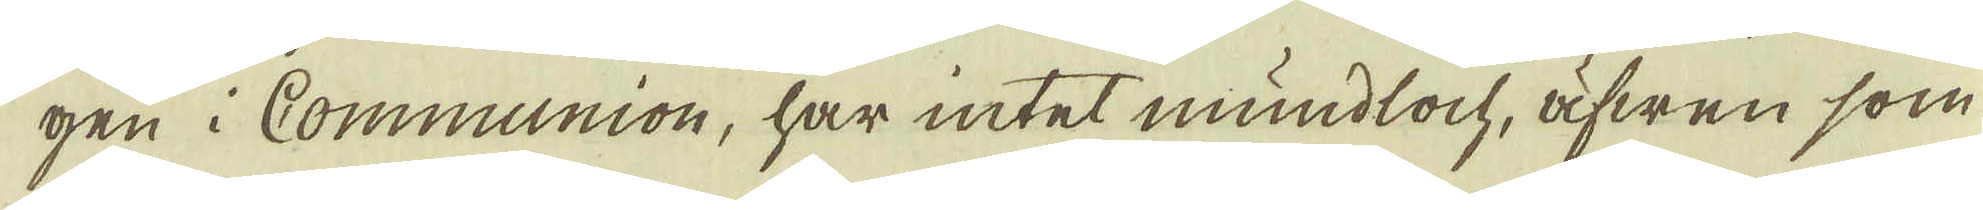gen i Communion, har intet mundloch, äfwen som
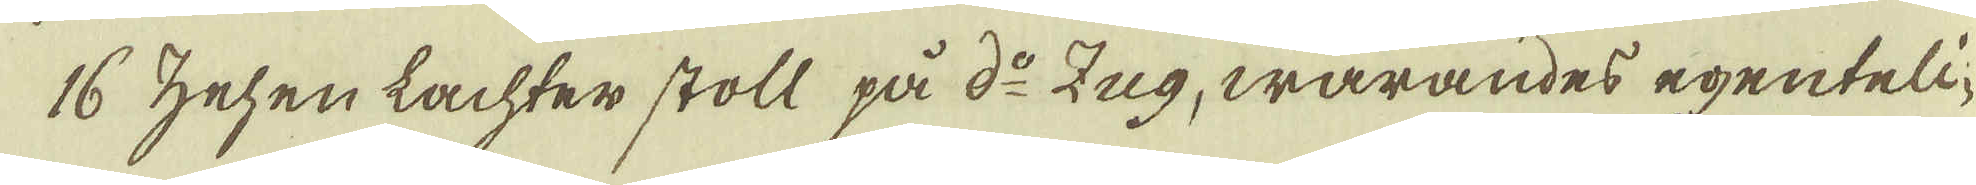16 zehen lachter stoll på d:o Zug, warandes egenteli-
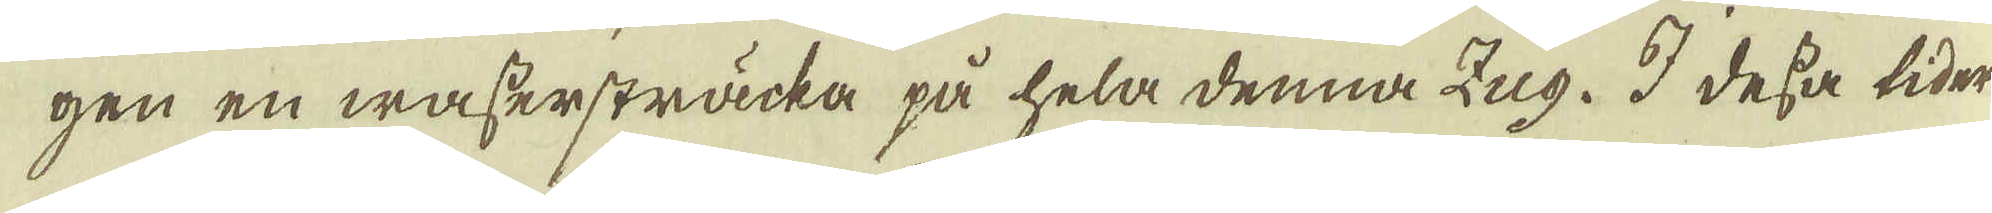gen en wassersträcka på hela denna Zug. I dessa tider
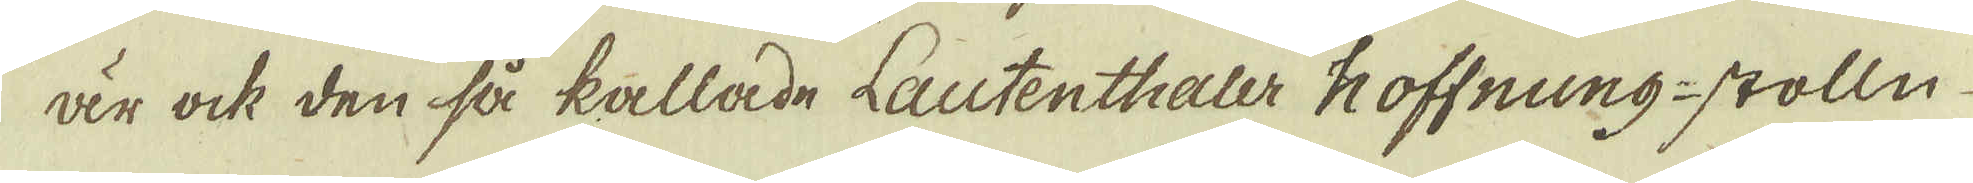är ock den så kallade Lautenthaler koffnung-stolln
